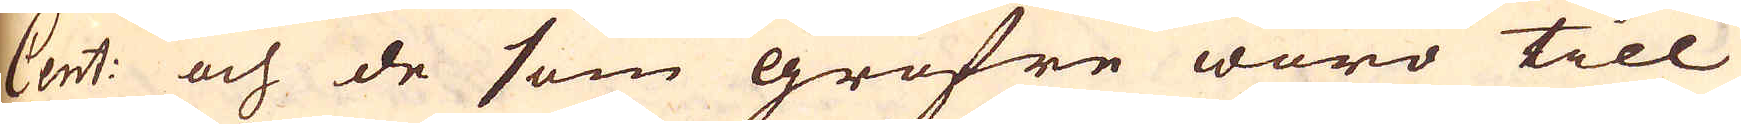Cent: och de som gröfre woro till
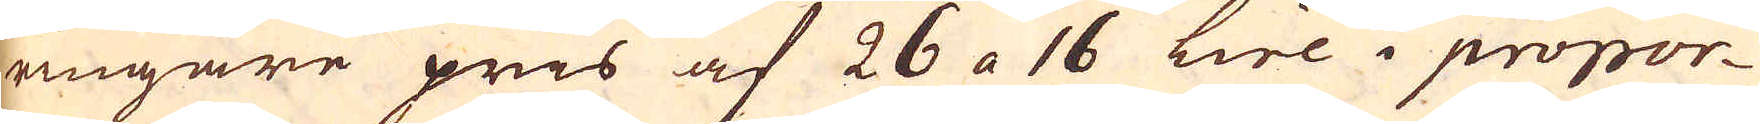ringare pris af 26 a 16 Lire i propor-
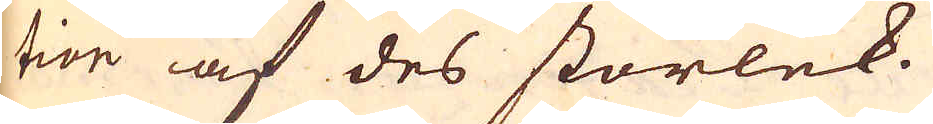tion af des storlek.
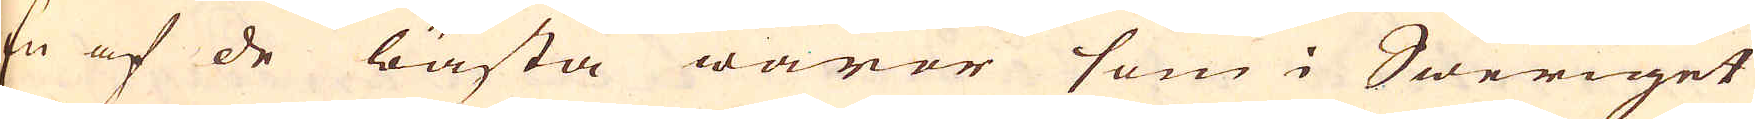En af de bästa waror som i Sweriget
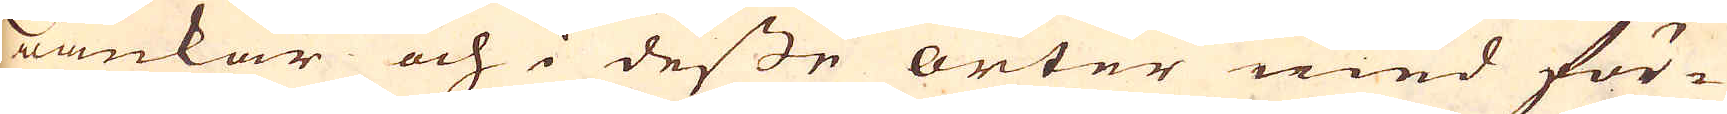wankar och i desse orter med för-
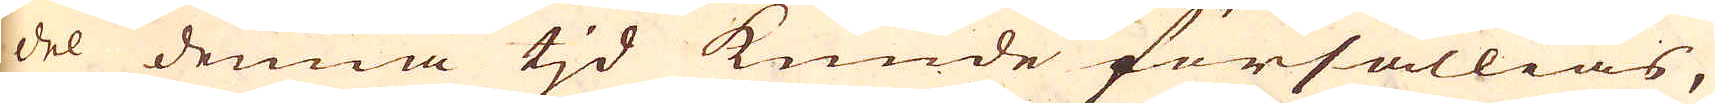del denna tjd kunde försällias,
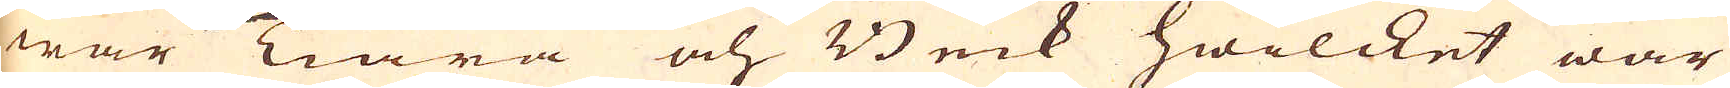war Tiära och Bek hwilcket war
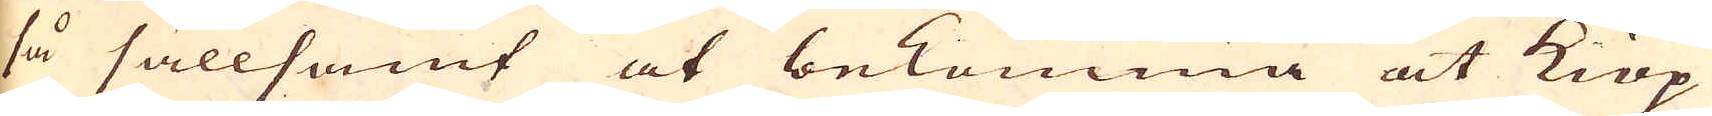så sällsamt at bekomma at Kiöp
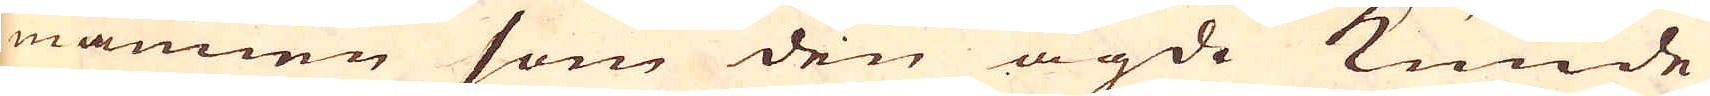mannen som den ägde kunde
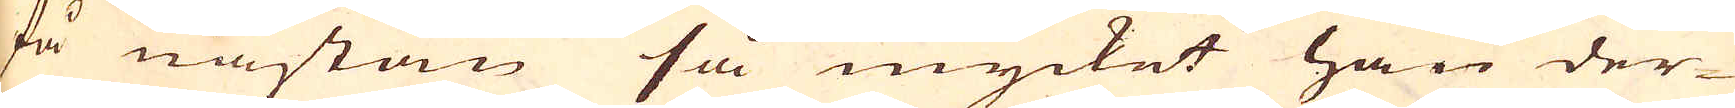få nästan så mycket han der-
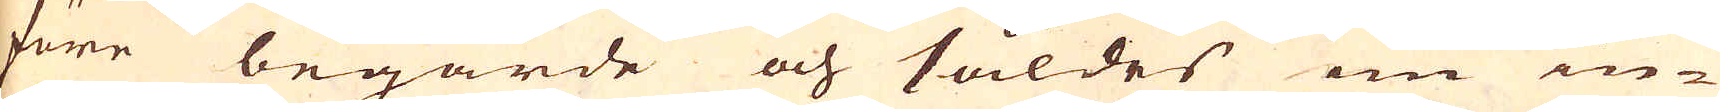före begärde och såldes nu in-
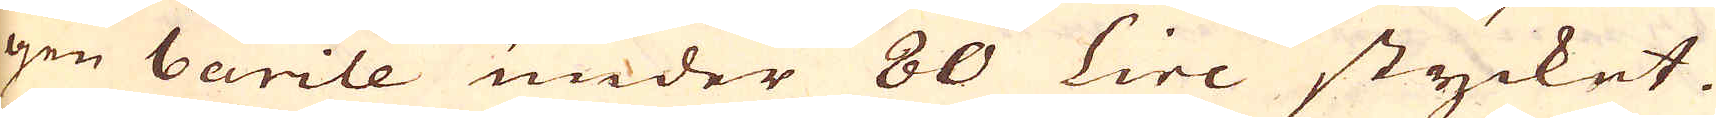gen barile under 80 Lire stycket.
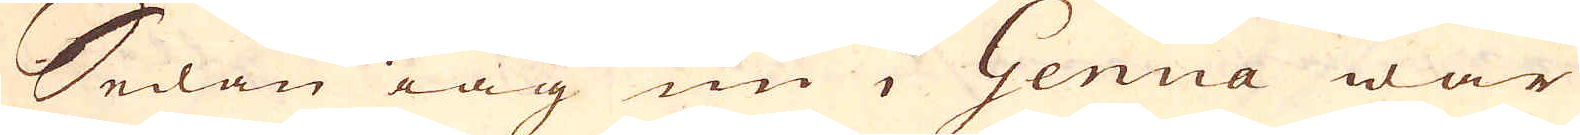Sedan iag nu i Genua war
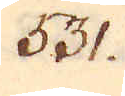531.
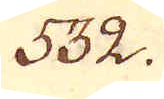532.
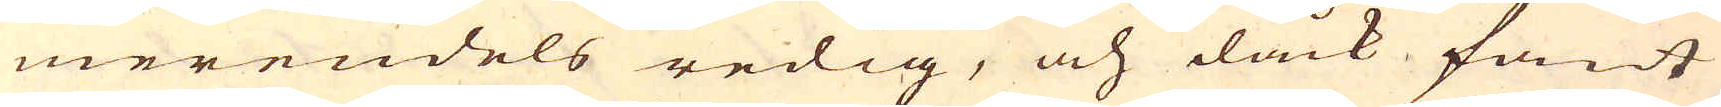merendels redig, och dåck fant
